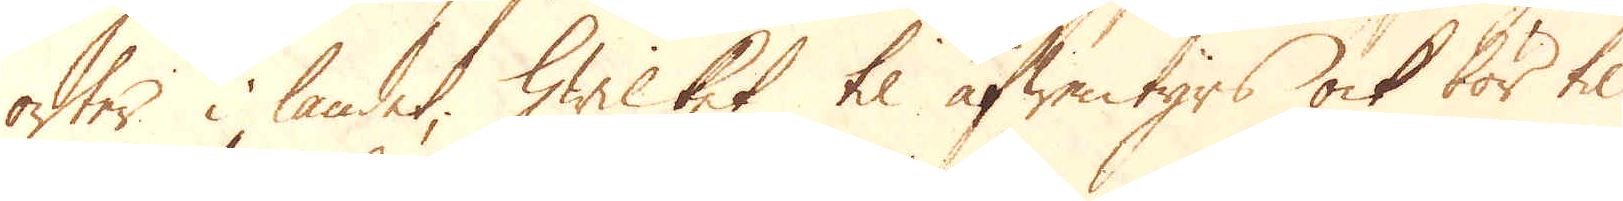orter i landet, hwilket til äfwentyrs ock bör til
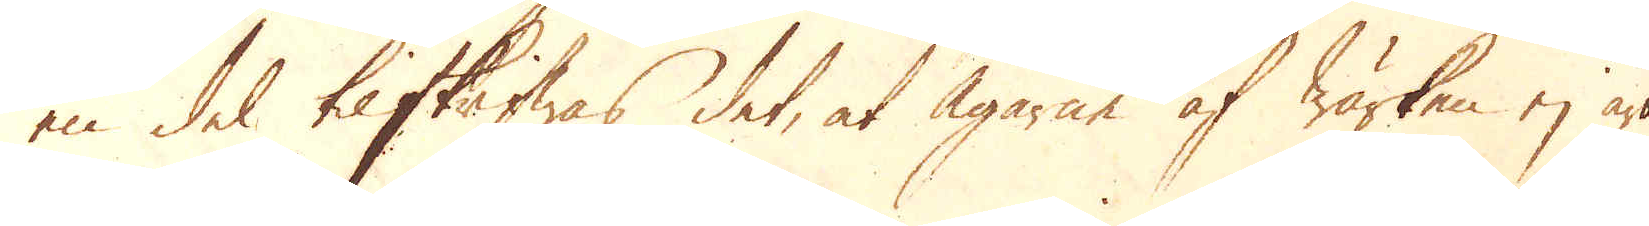en del tilskrifwas det, at Ägarne af wärken ej äro
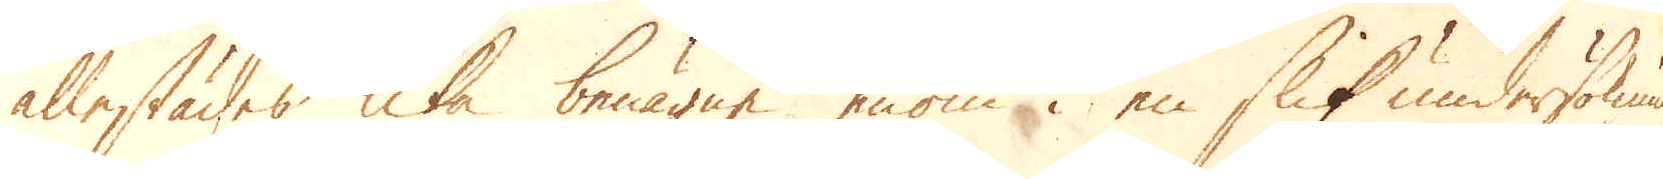allestädes lika benägne en om i en slik undersökning
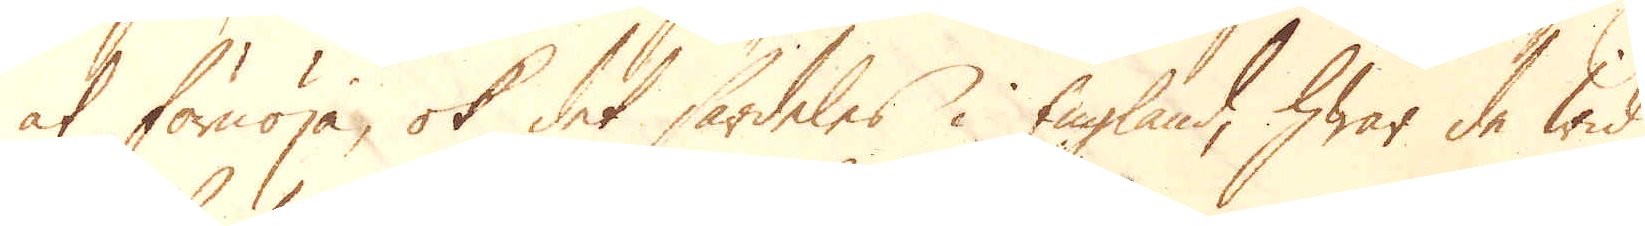at förnöja, ok det särdeles i England, hwar de wid
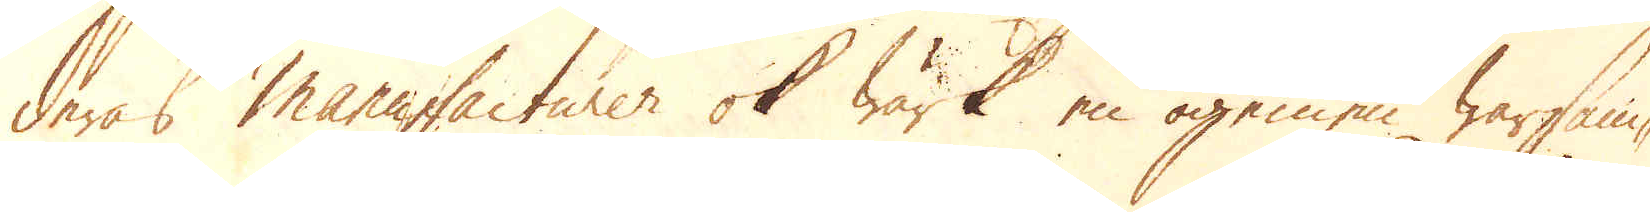deras manufacturer ok Wärk en ogemen warsam-
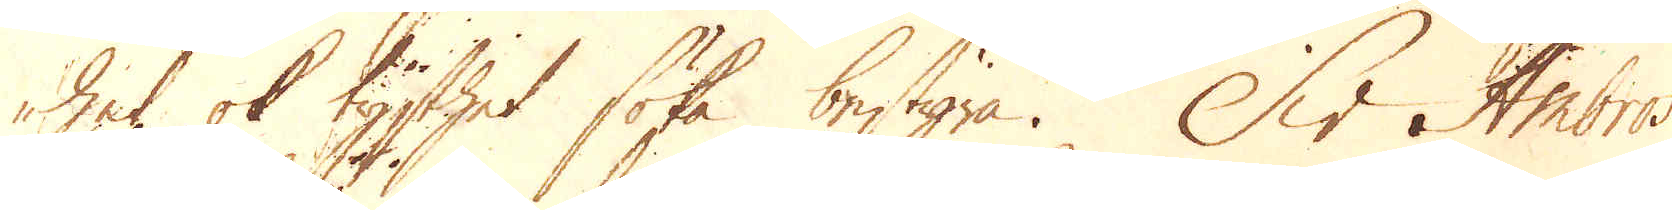het ok tysthet söka bestyra. Sir Ambros
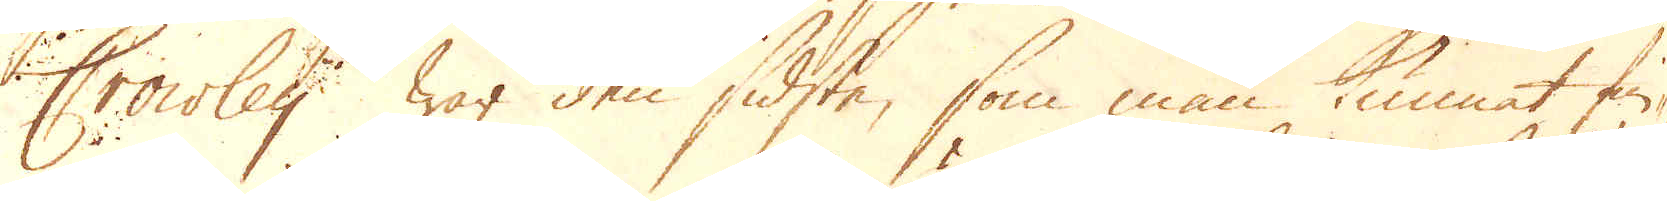Crowley war den sidste, som man kunnat fin-
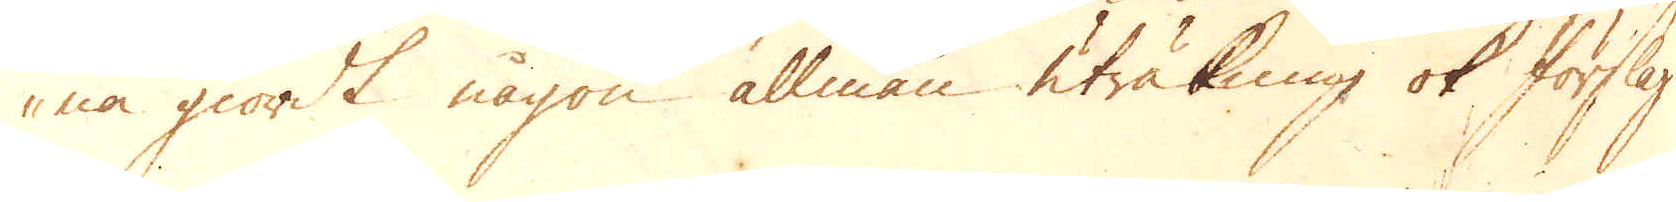na giordt någon allmän uträkning ok förslag
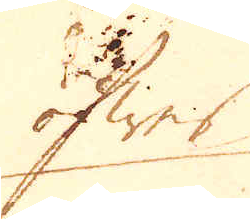öfwer
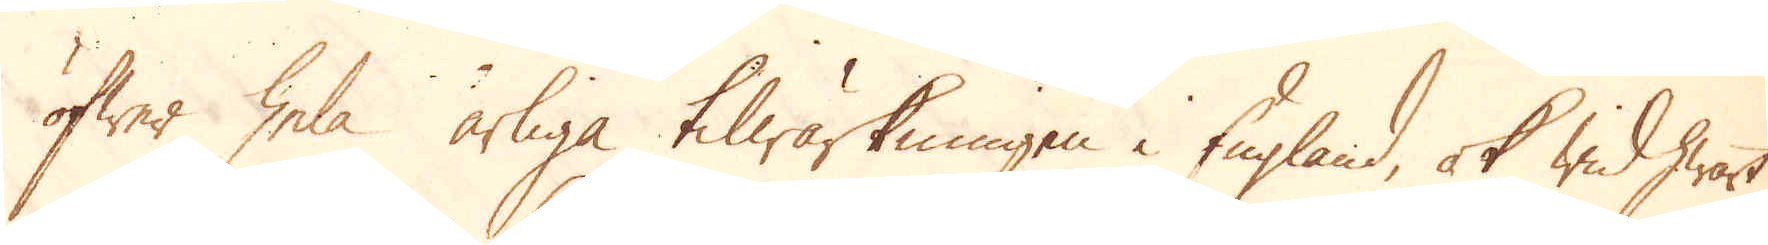öfwer hela årliga tilwärkningen i England, ok wid hwart
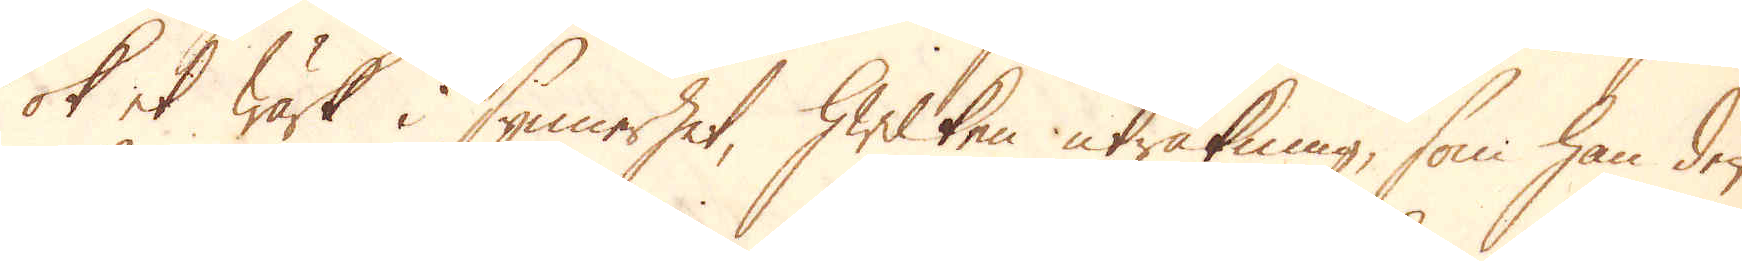ok et wärk i synnerhet, hwilken uträkning, som han den
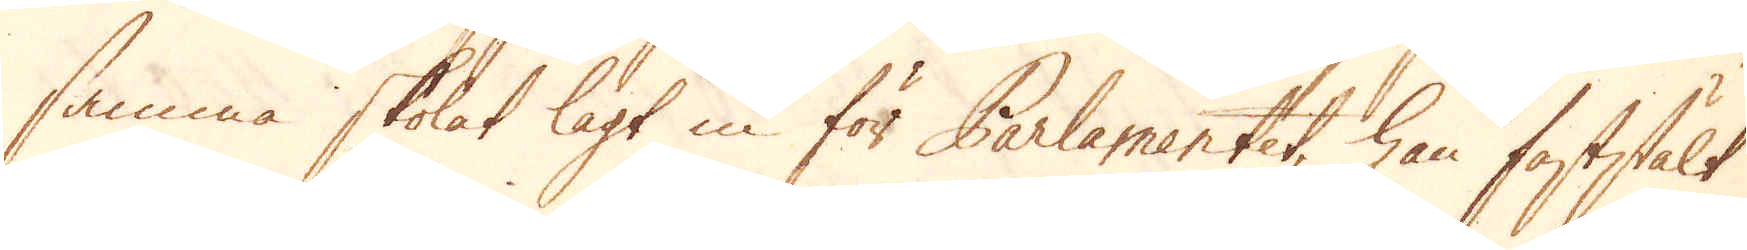samma skolat lagt in för Parlamentet, han faststält
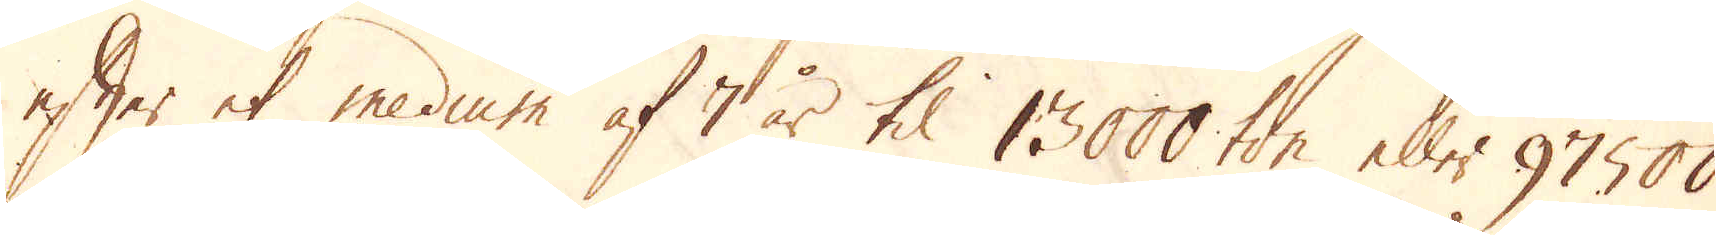efter et medium af 7 år til 13000 ton eller 97500
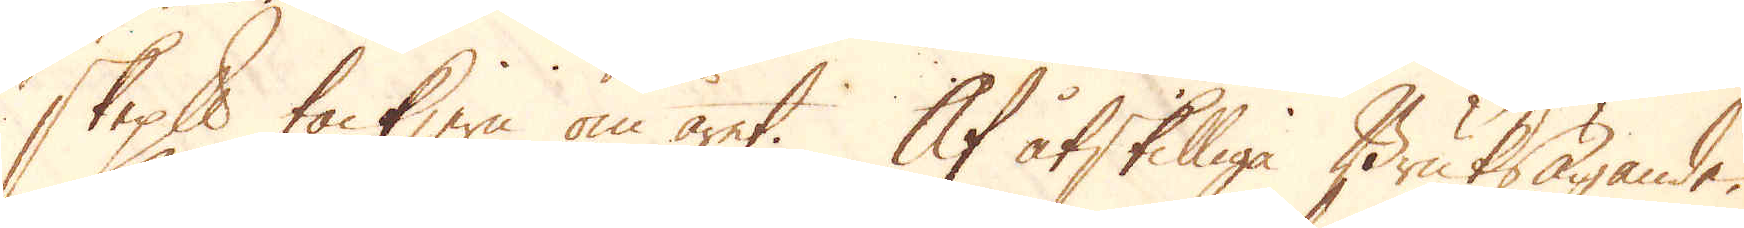skeppund tackjern om året. Af åtskilliga Bruksägande,
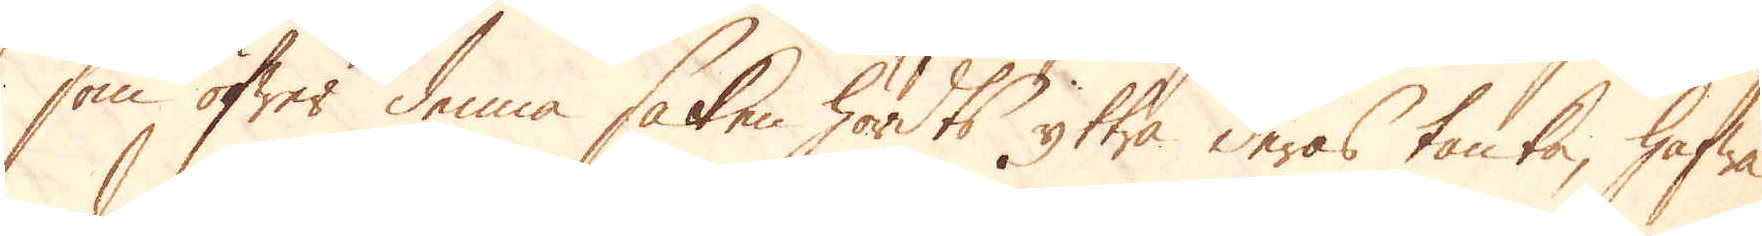som öfwer denna saken hördts yttra deras tanka, hafwa
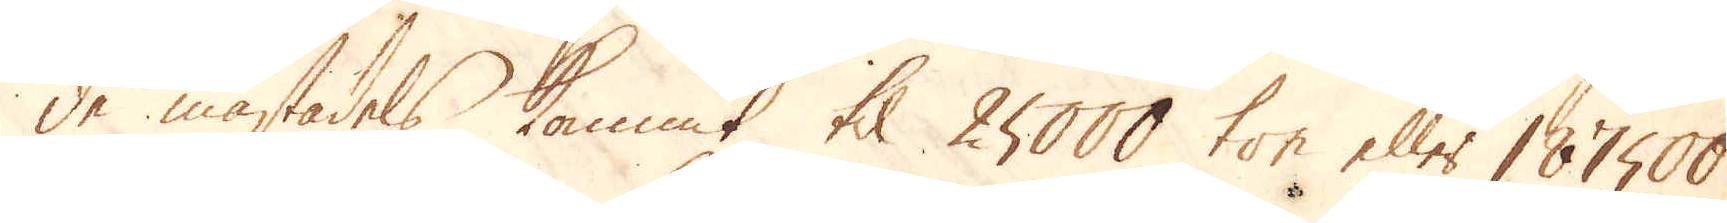de mästadels kommit til 25000 ton eller 187500
